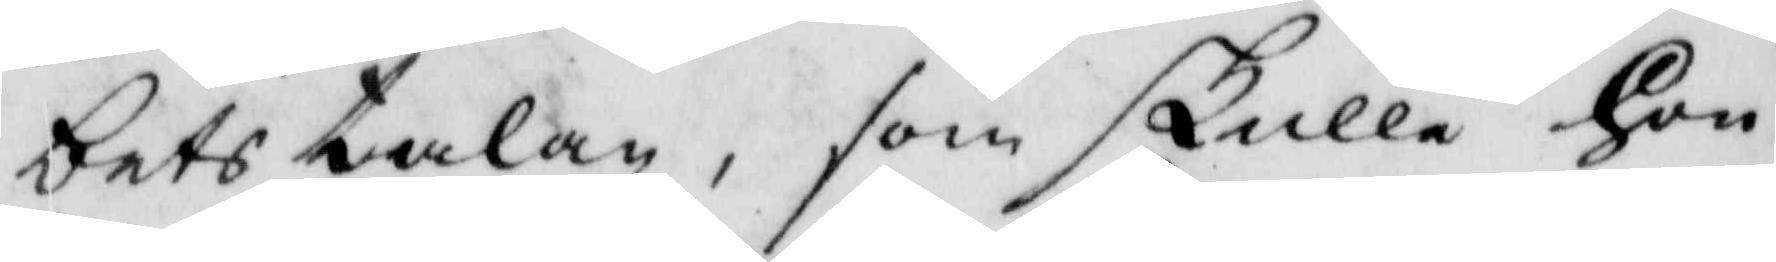betstalan, som skulle hon
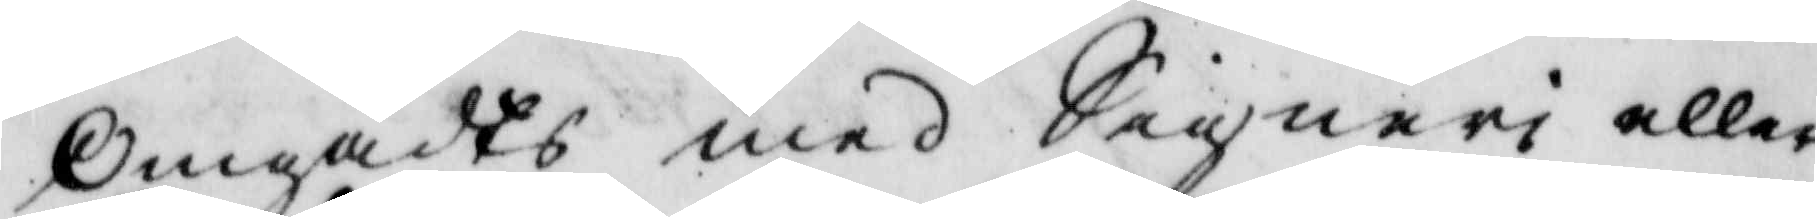omgådt med Signeri eller
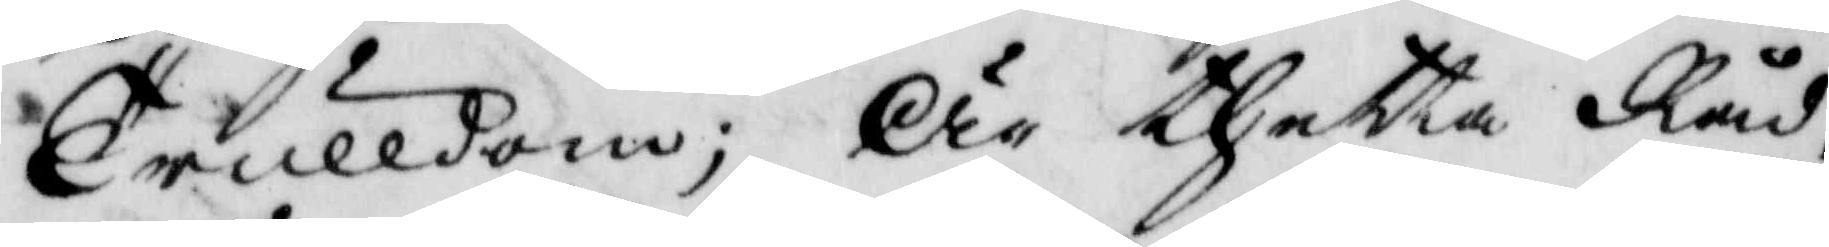Trulldom; är thetta Råd¬
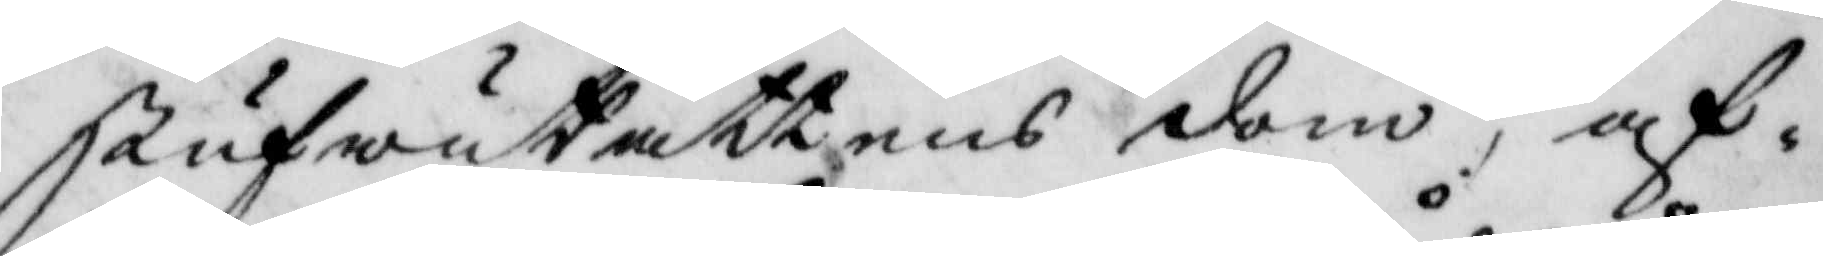StufwuRättens dom, af¬
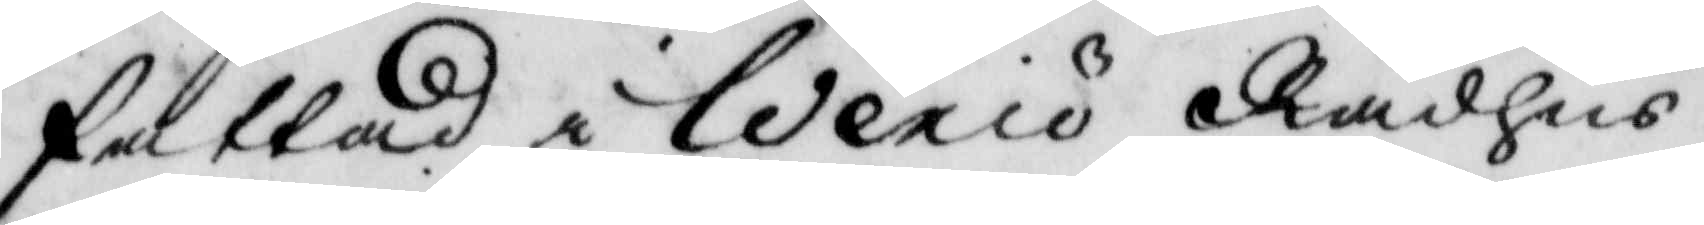fattad i Wexiö Rådhus,
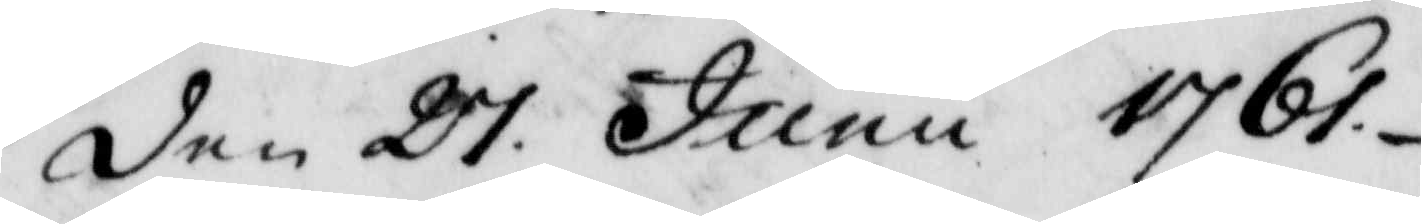den 27 Junu 1761.
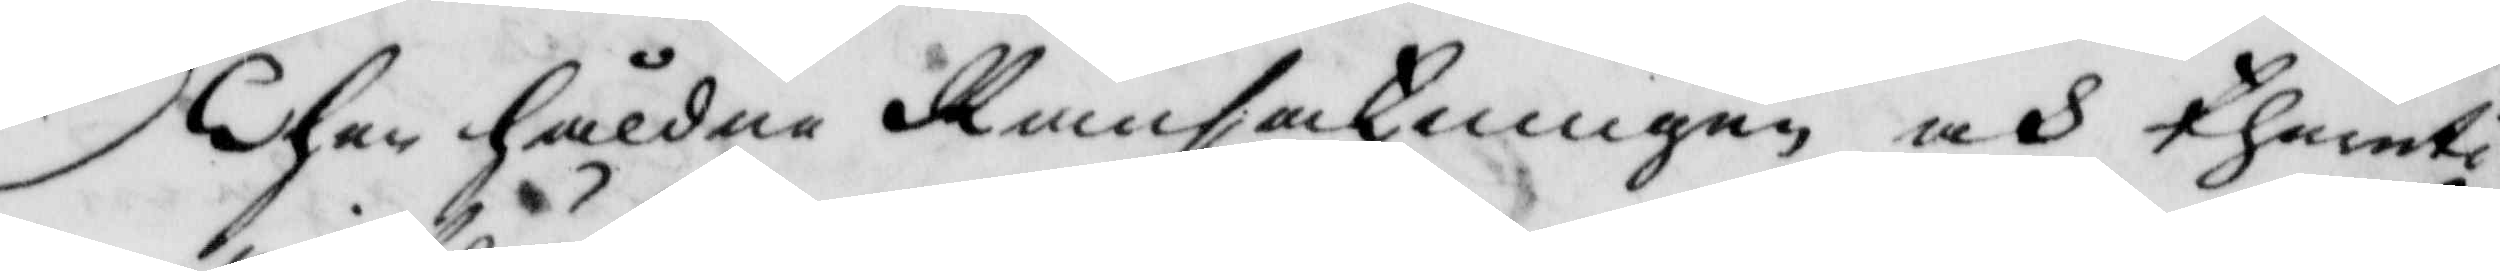Then håldne Ransakningen och theruti
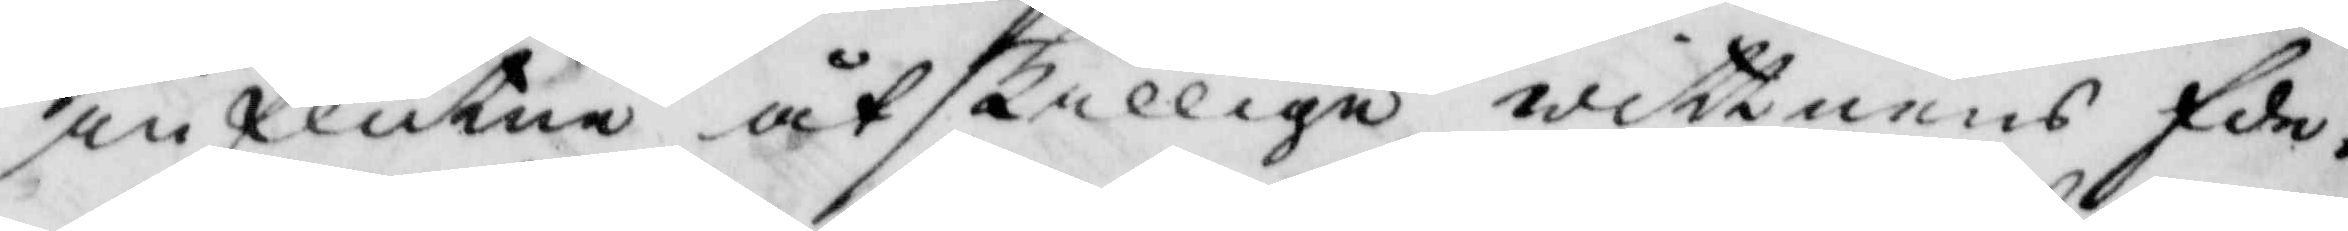influtne åtskillige wittnens Ede¬
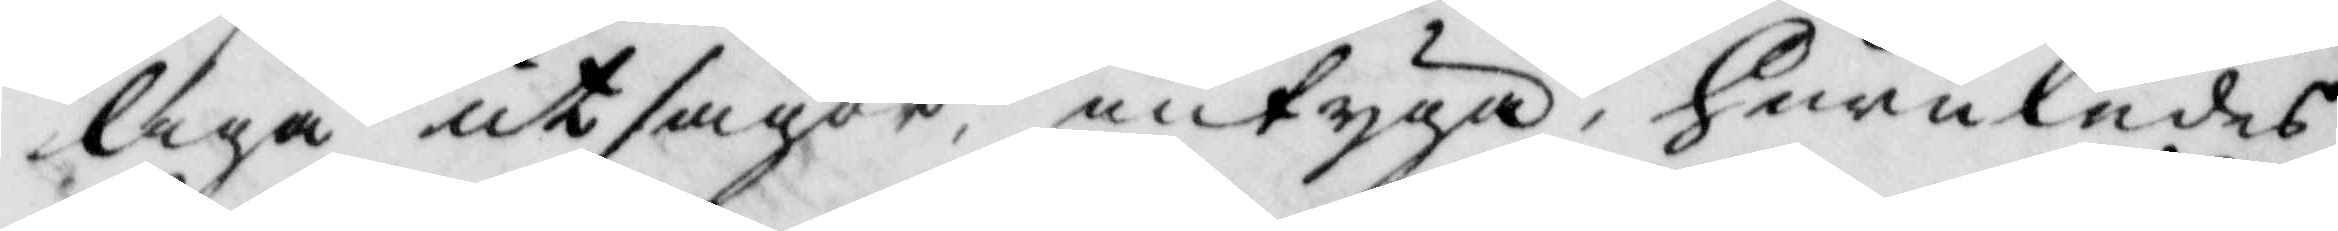liga utsagor, intyga, huruledes
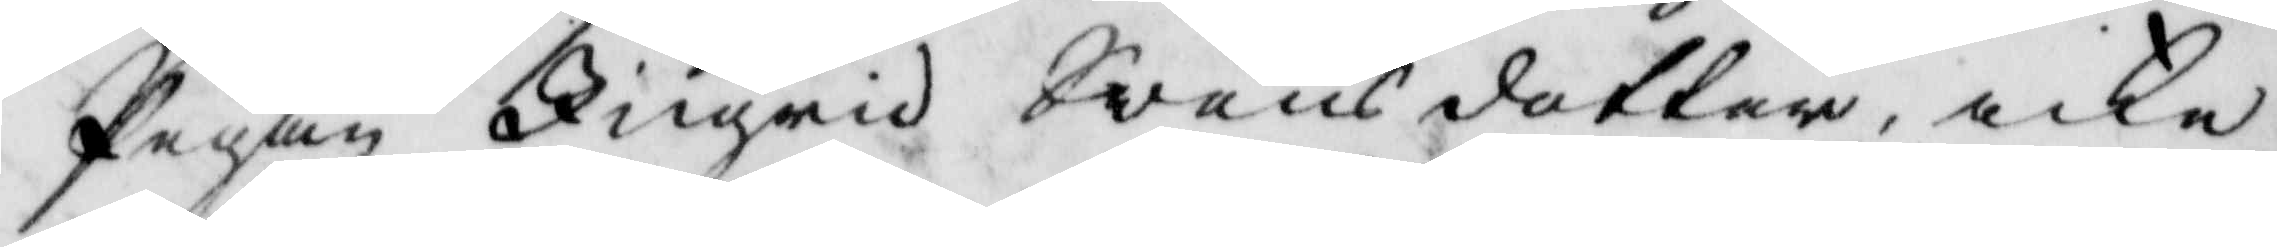Pigan Ingrid Swensdotter icke
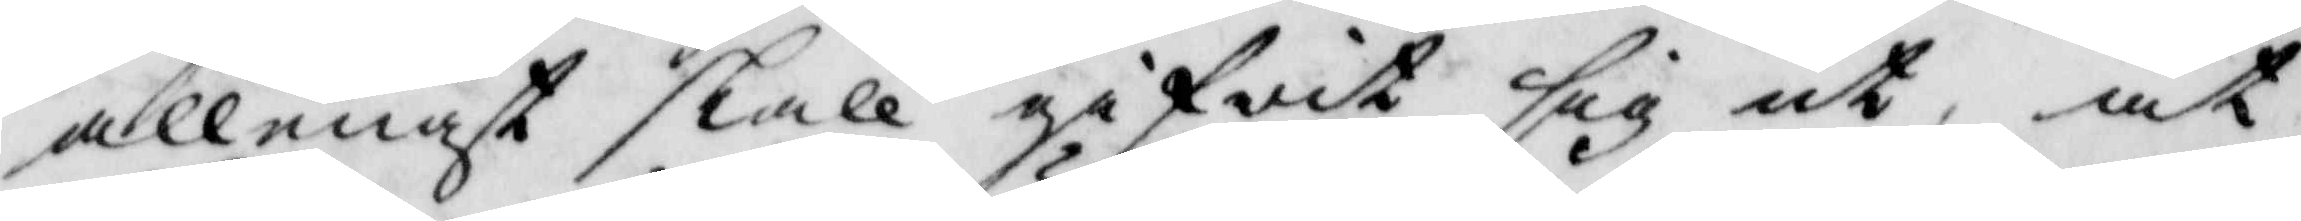allenast skall gifwit sig ut, at
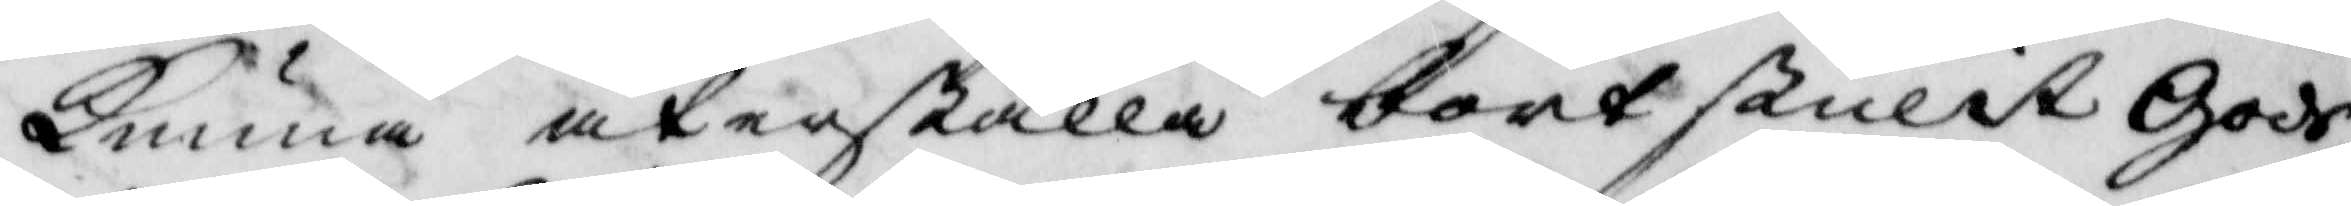kunna återställa bortstulit gods,
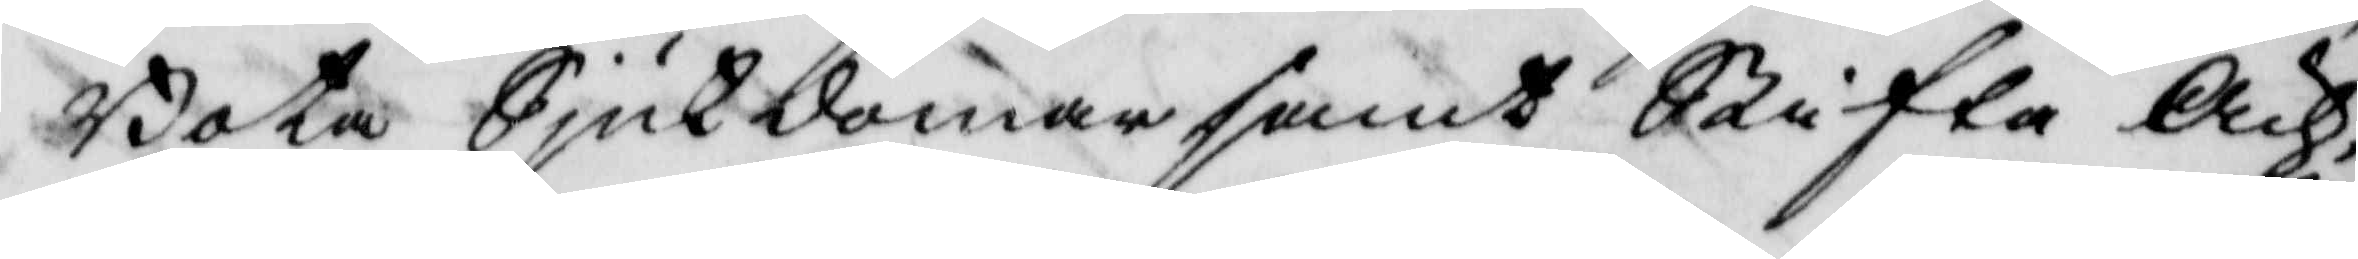Bota Siukdommar samt Stifta Äch¬
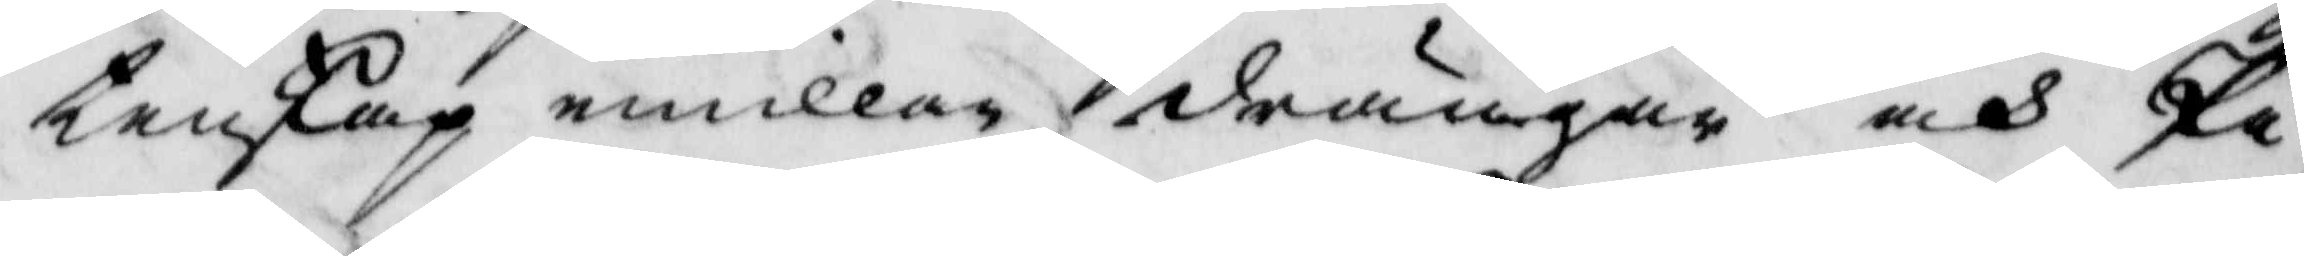tenskap emillan drängar och Pi¬
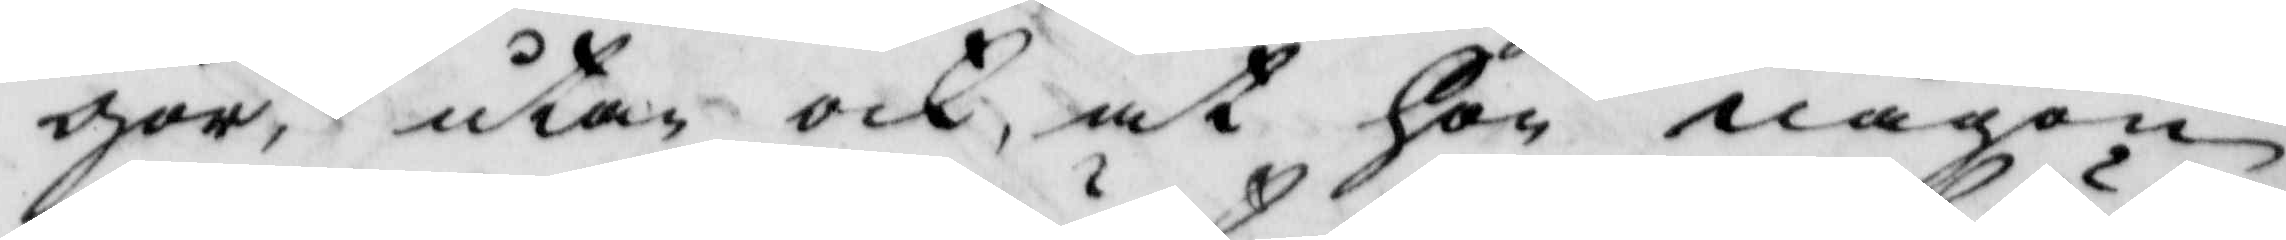gor, utan och, at hon någon
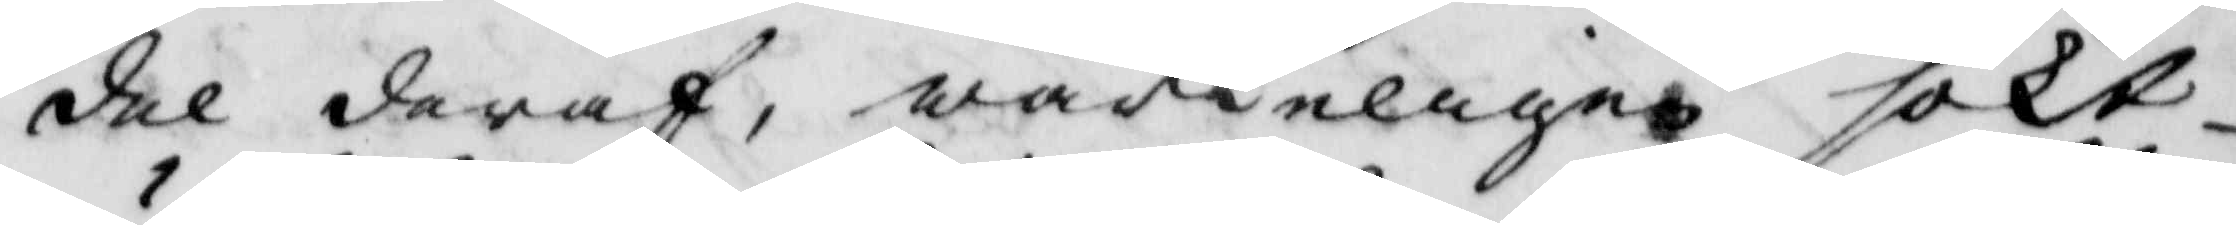del deraf, wärkeligen sökt
